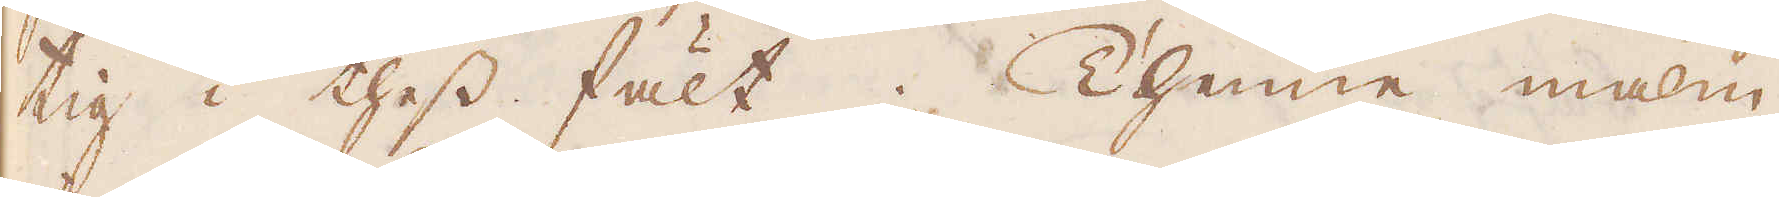tig i thess fält. Thenne malm
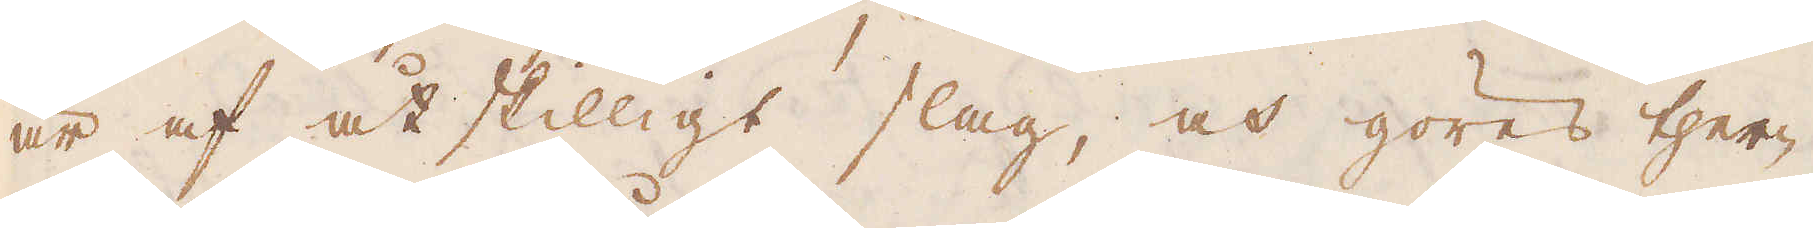är af åtskilligt slag, och göres ther-
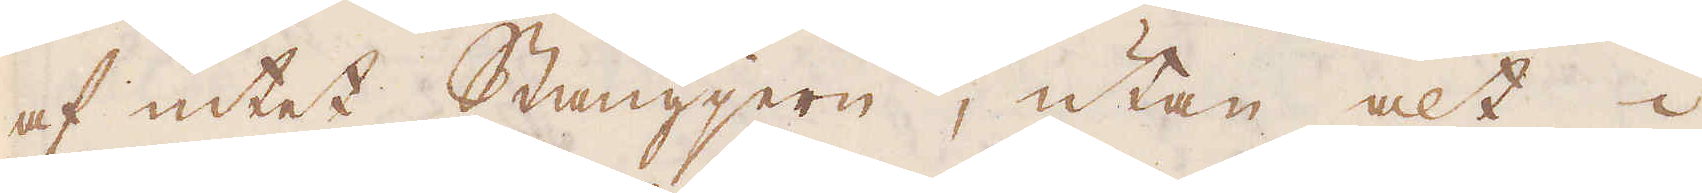af intet Stångjern, utan alt i
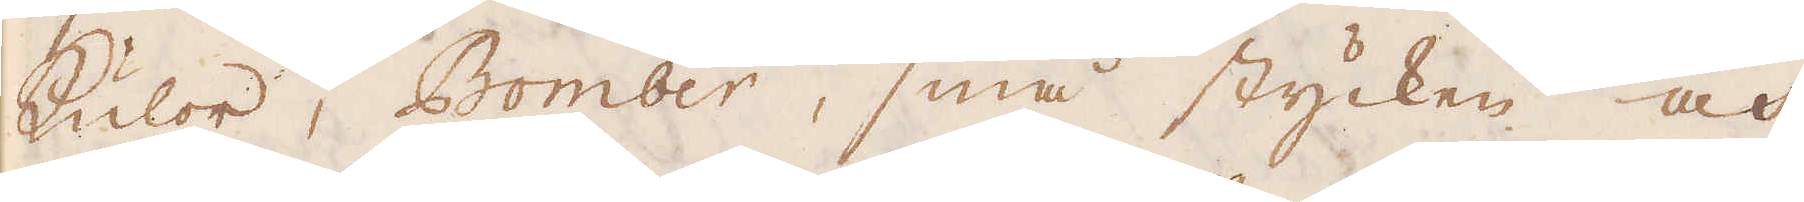kulor, Bomber, små stycken och
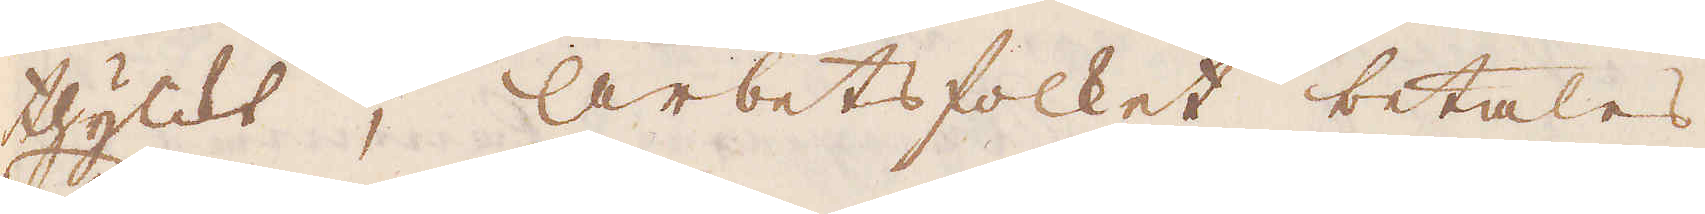thylckt; arbetsfolket betalas
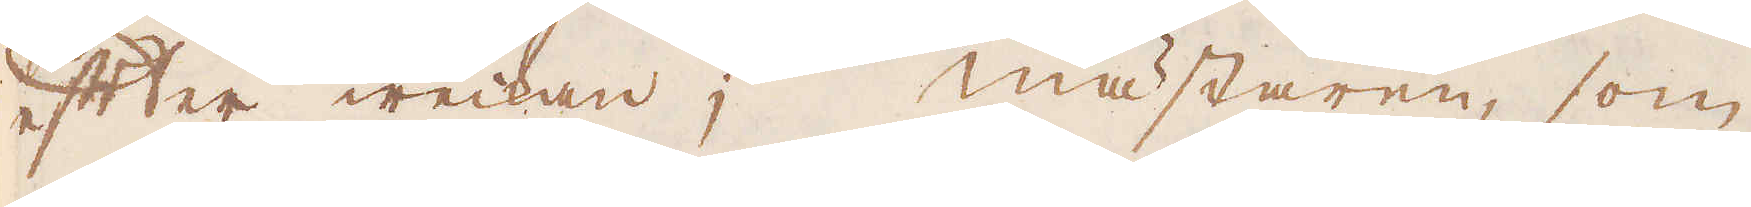effter weckan; mästaren, som
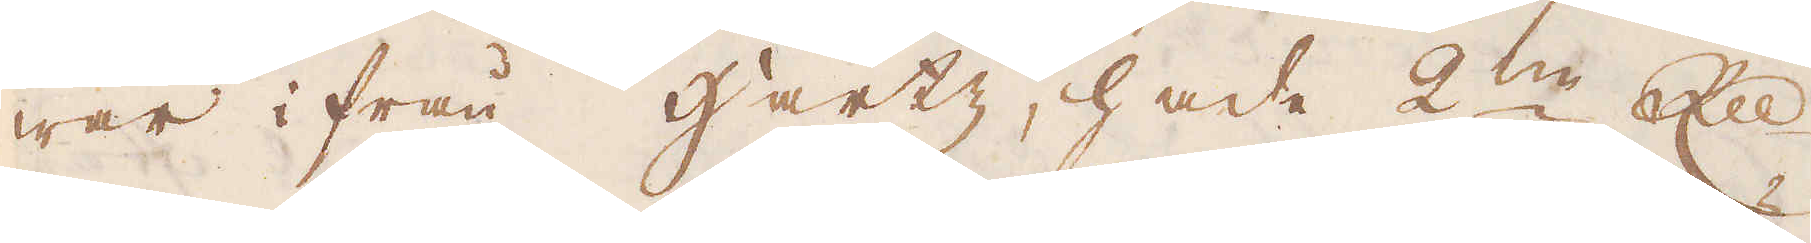war ifrån Hartz, hade 2:ne R:dr
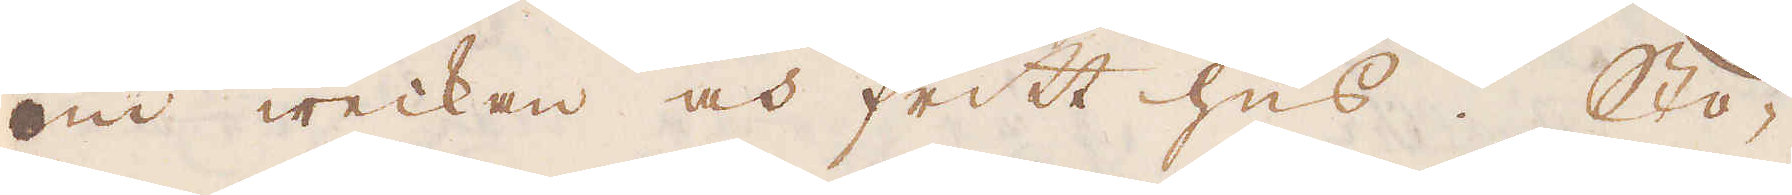om weckan och fritt hus. Stö-
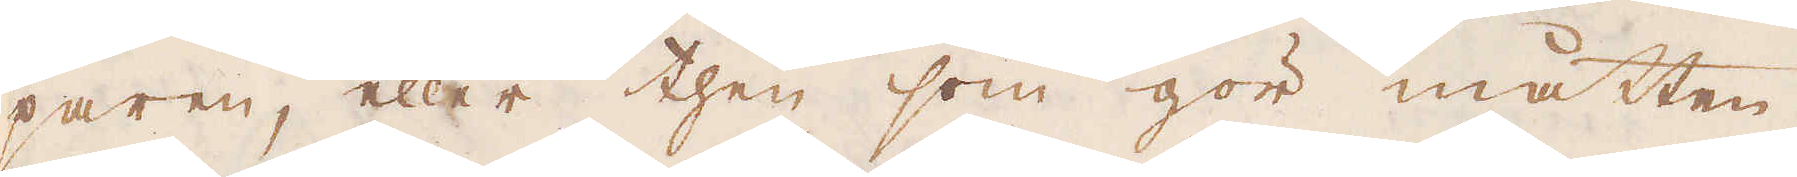paren, eller then som gör måtten
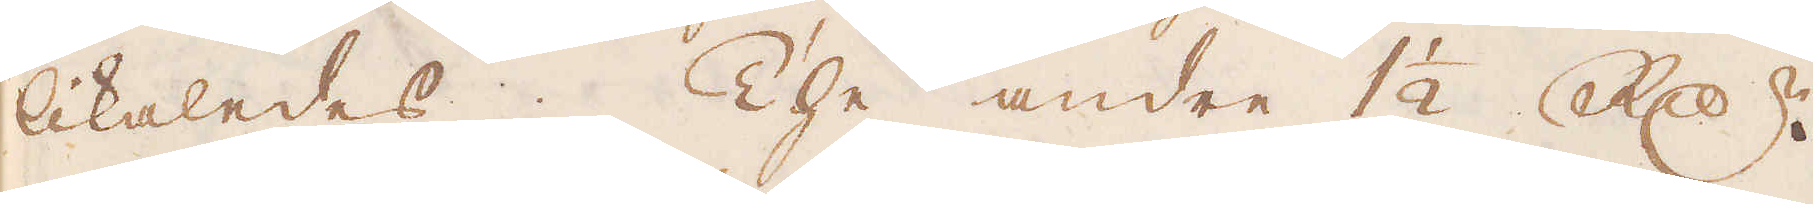likaledes; The andre 1 1/2 R:dr.
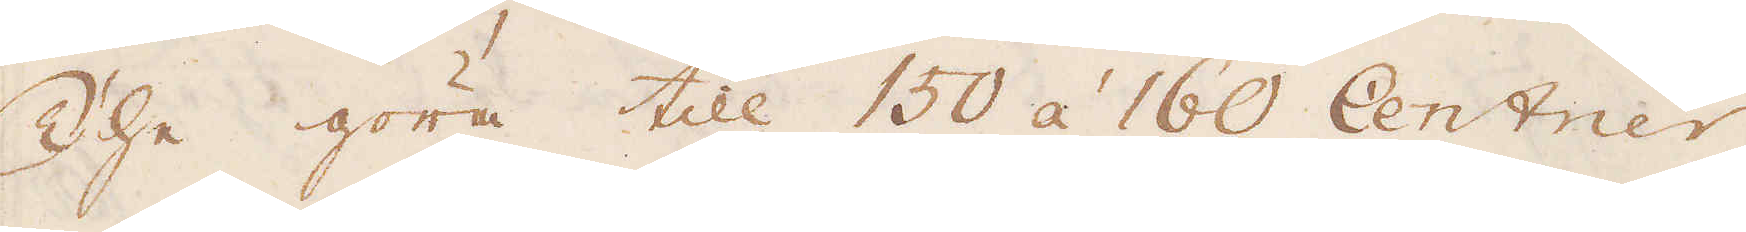The göra till 150 á 160 Centner
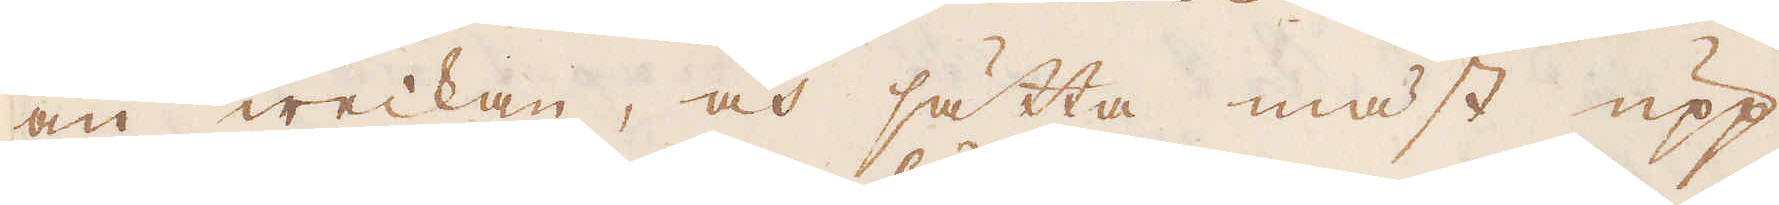om weckan, och sätta mäst upp
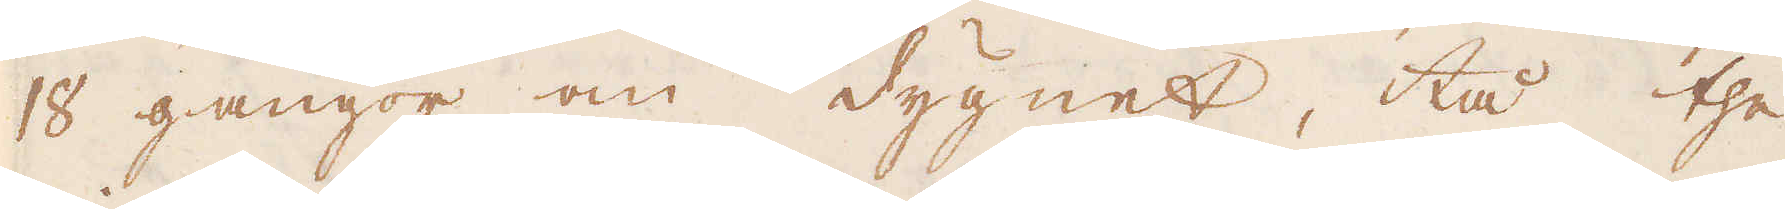18 gångor om dygnet, tå the
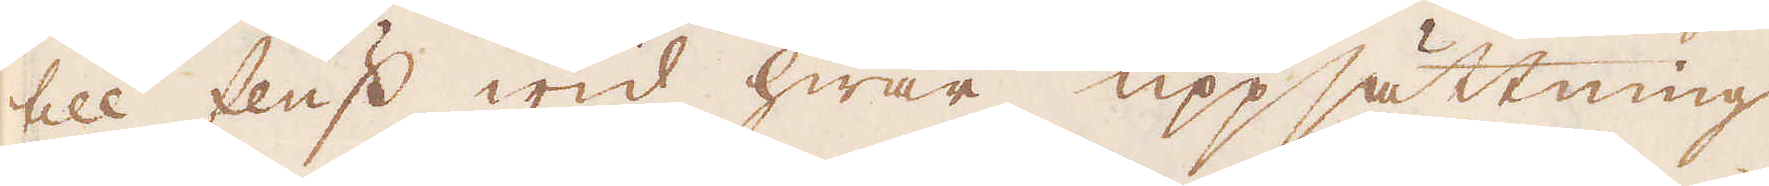till fluss wid hwar uppsättning
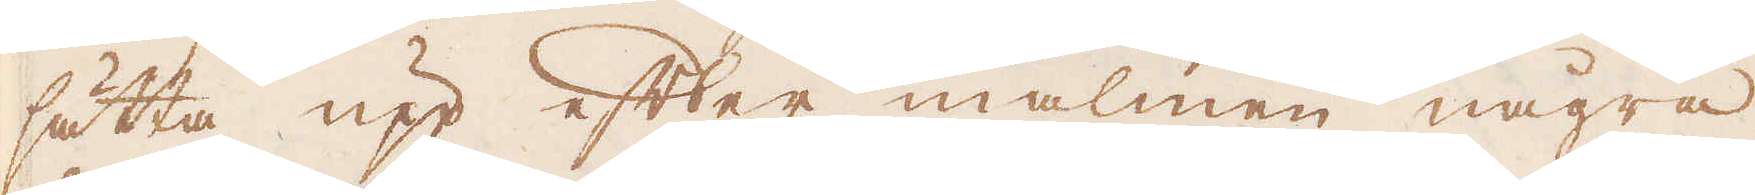sätta upp efter malmen några
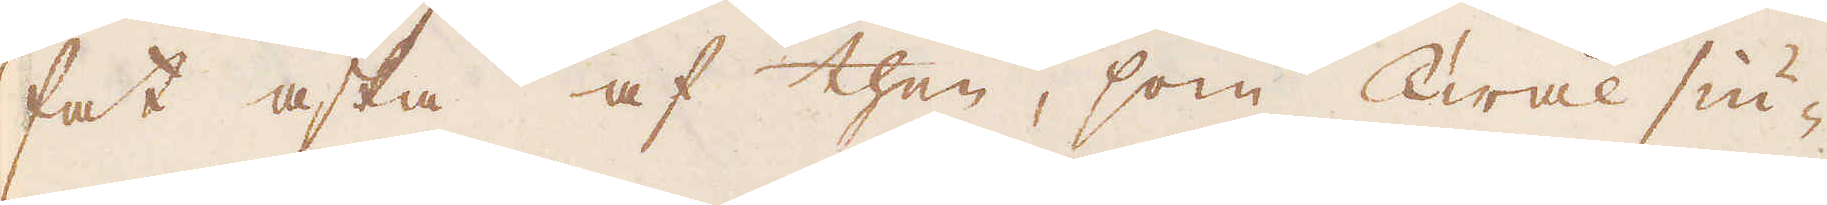fat aska af then, som Twål siu-
